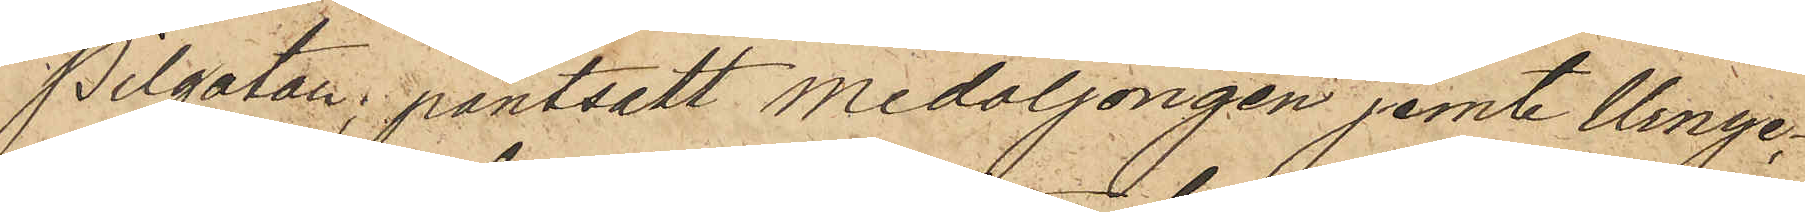Pilgatan, pantsatt medaljongen jemte Urnyc¬
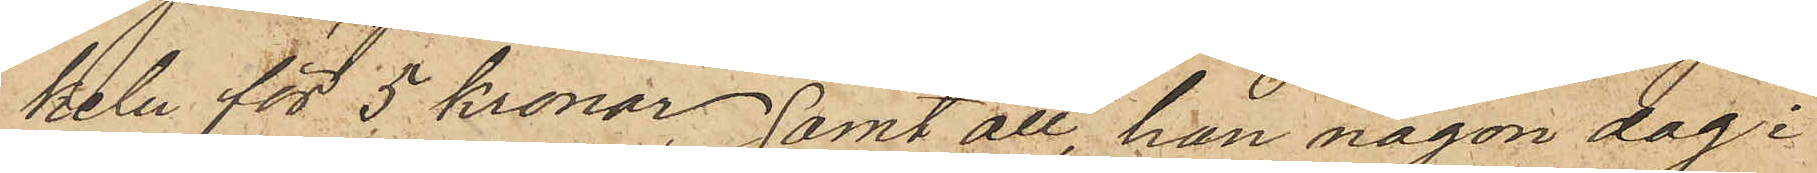keln för 5 kronor, samt att, han någon dag i
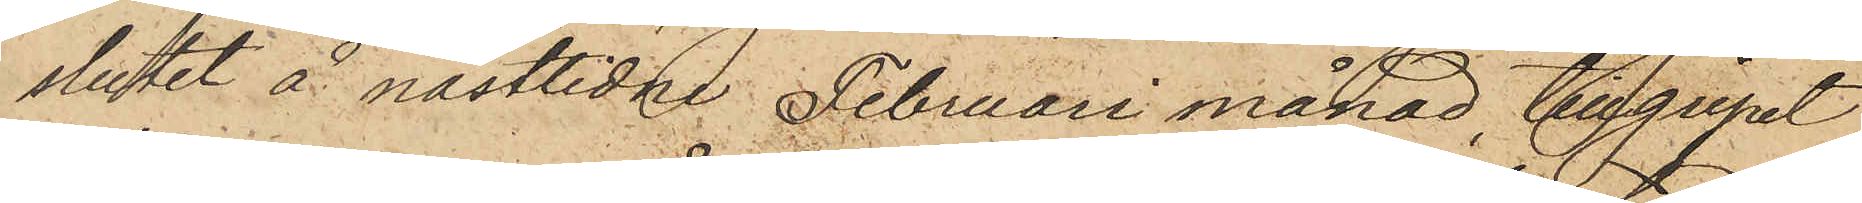slutet å nästlidne Februari månad, tillgripit
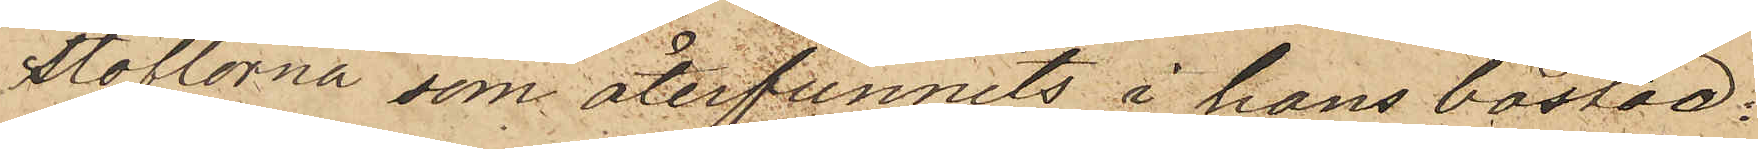stöflorna som återfunnits i hans bostad.
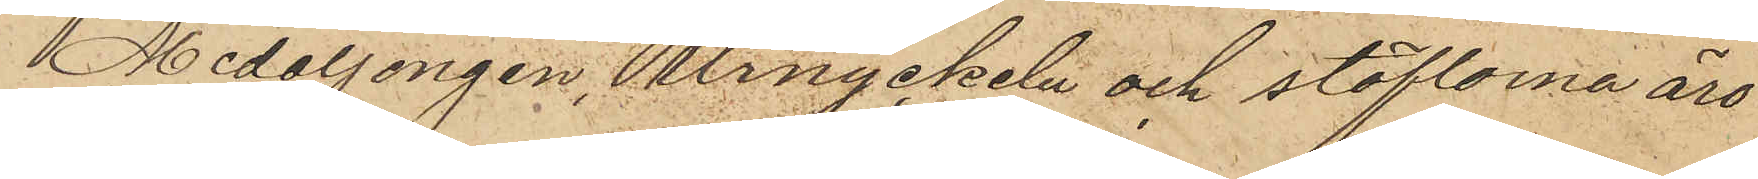Medaljongen, urnyckeln och stöflorna äro
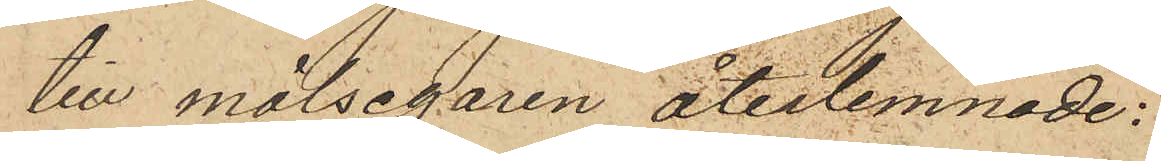till målsegaren återlemnade.
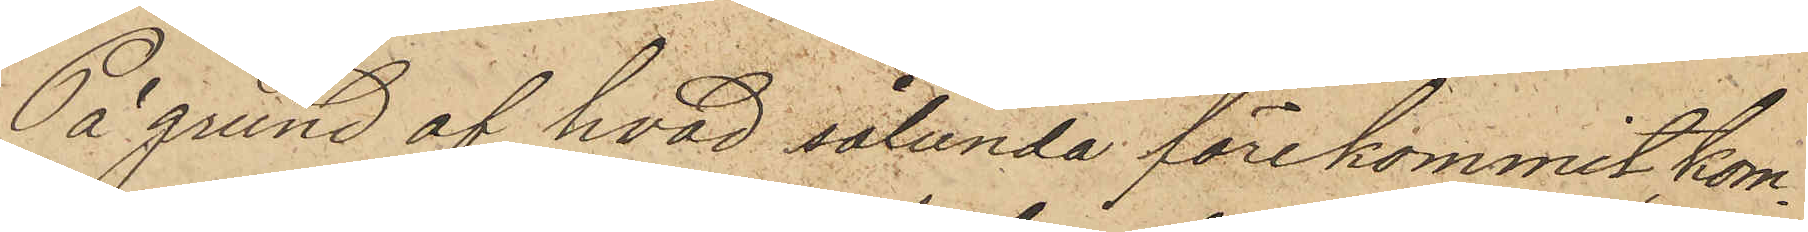På grund af hvad sålunda förekommit, kon¬
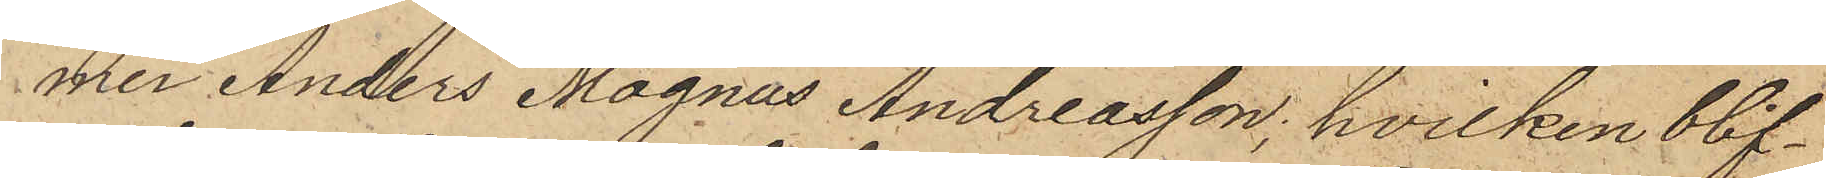mer Anders Magnus Andreasson, hvilken blif¬
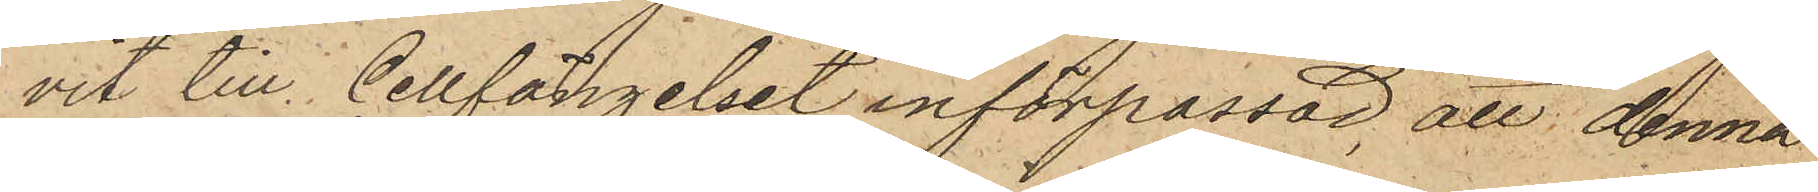vit till Cellfängelset införpassad, att denna
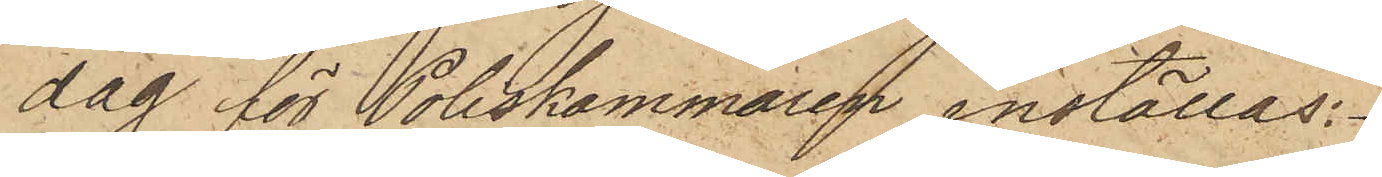dag för Poliskammaren inställas.
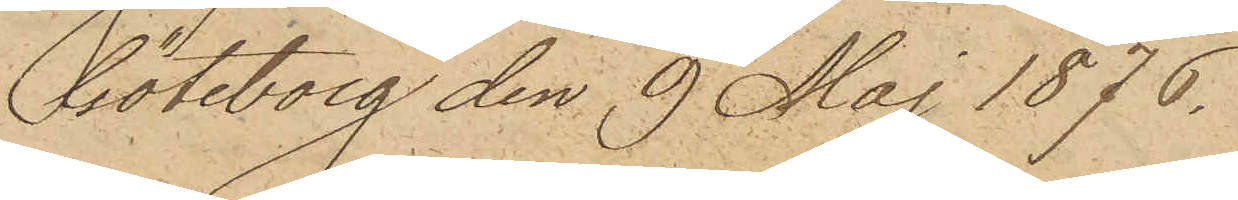Göteborg den 9 Maj 1876.
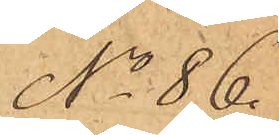No 86.
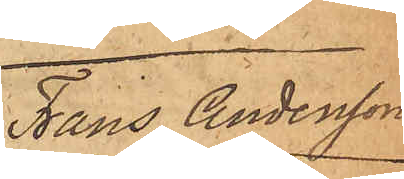Frans Andersson
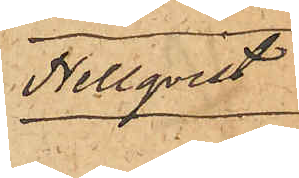Hellqvist
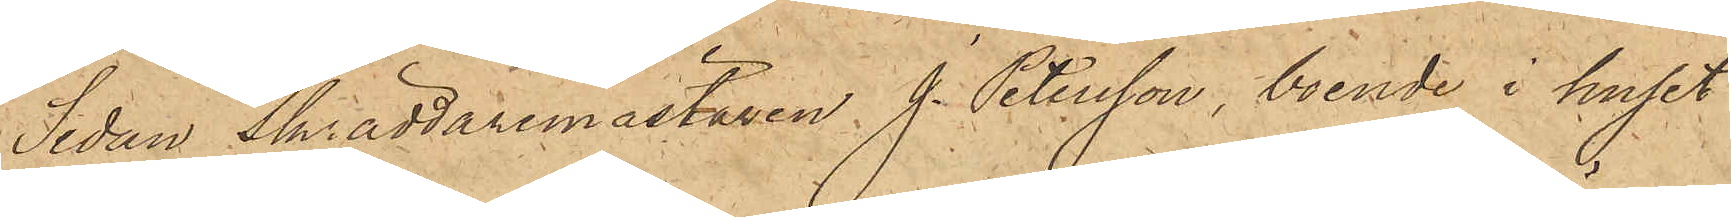Sedan Skräddaremästaren J. Petersson, boende i huset
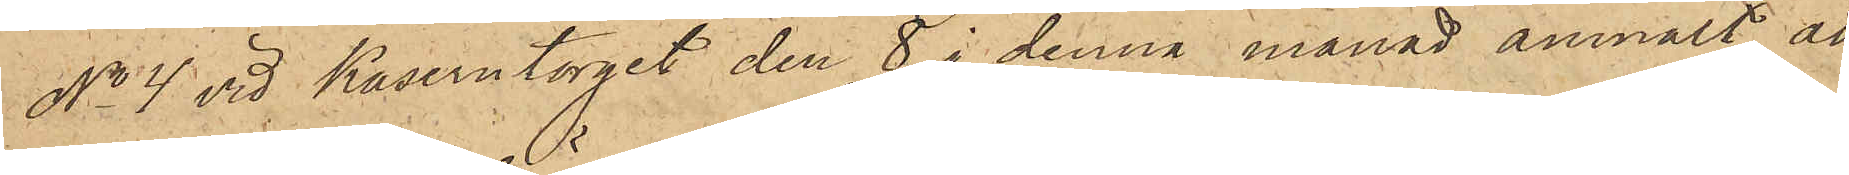No 4 vid Kaserntorget den 8 i denna månad anmält, att
